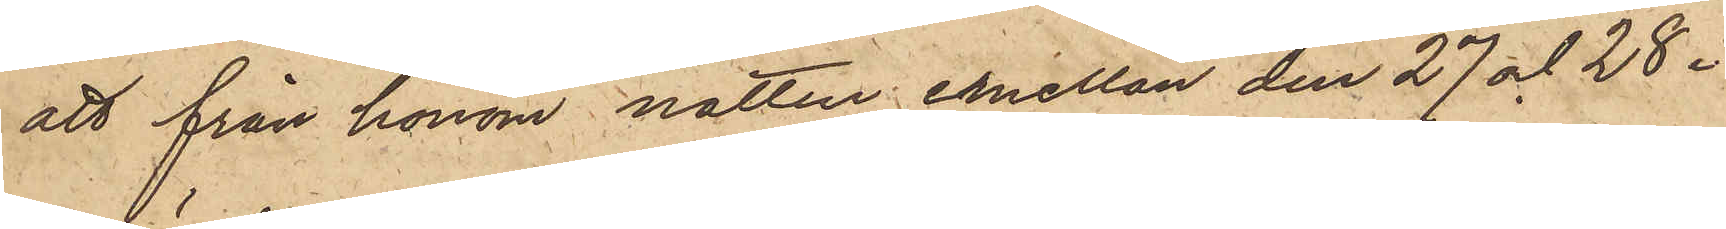att från honom natten emellan den 27 och 28 i
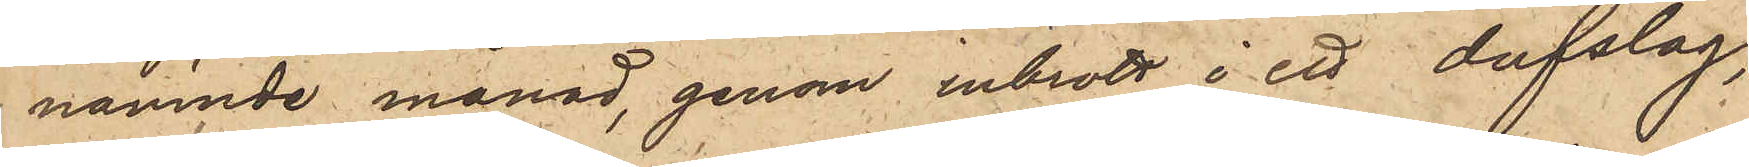nämnde månad, genom inbrott i ett dufslag,
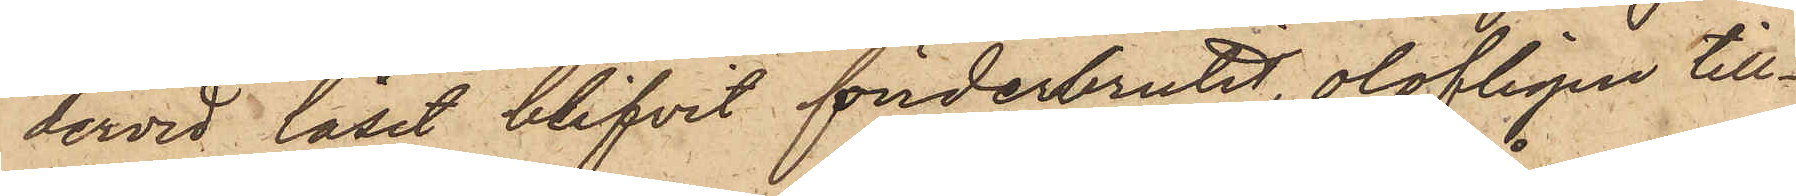dervid låset blifvit sönderbrutit, olofligen till¬
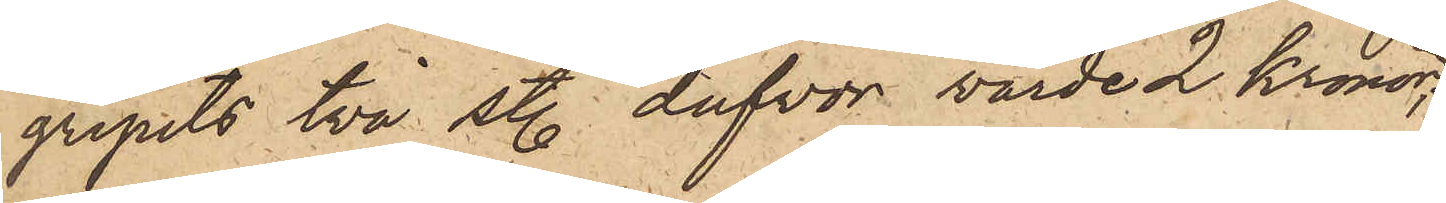gripits två sty. dufvor värde 2 Kronor,
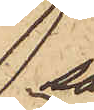så
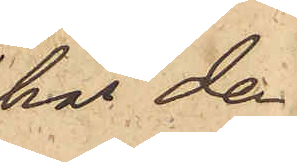har de¬
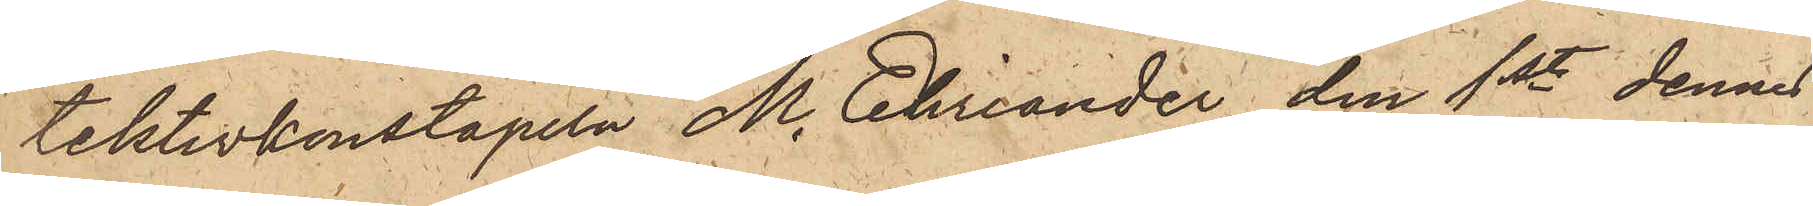tektivkonstapeln M. Ehriander den 1st dennes
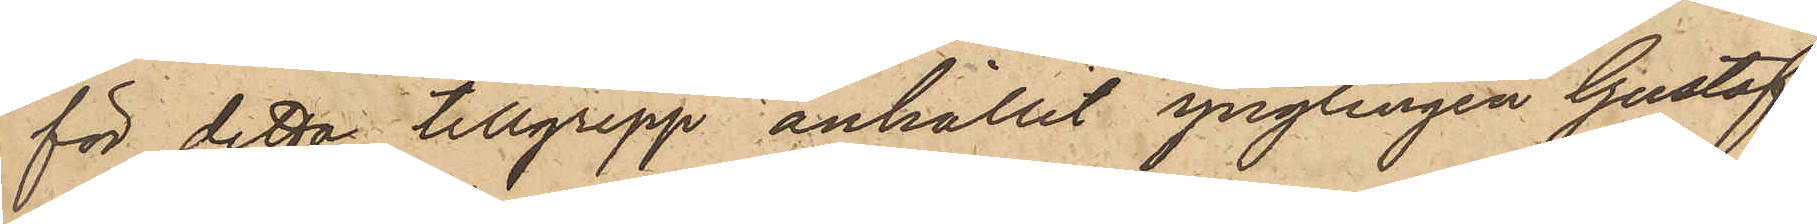för detta tillgrepp anhållit ynglingen Gustaf
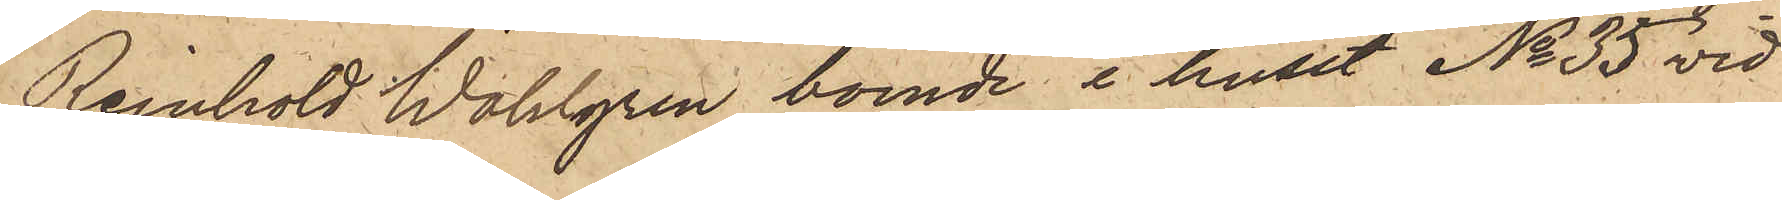Reinhold Wahlgren boende i huset No 35 vid
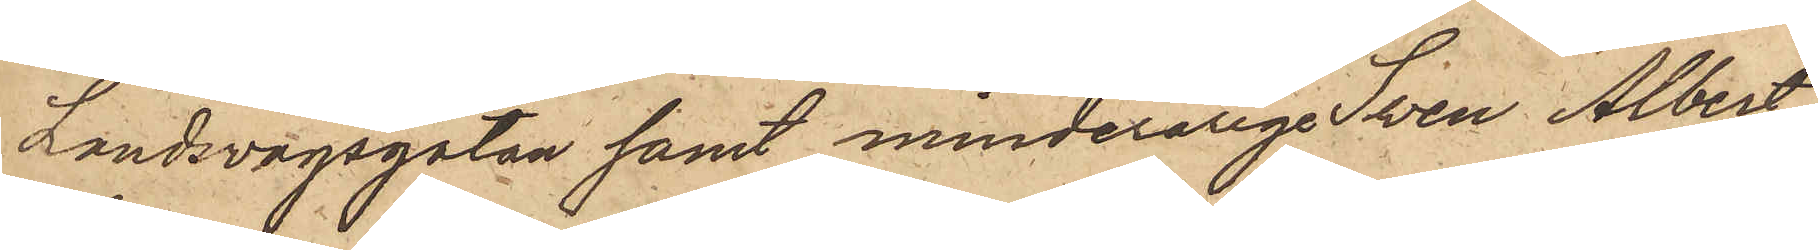Landsvägsgatan samt minderårige Sven Albert
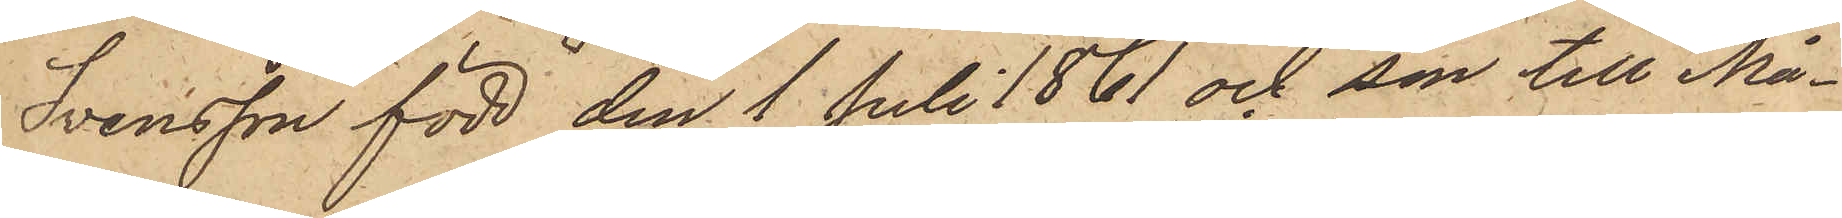Svensson, född den 1 Juli 1861 och son till Må¬
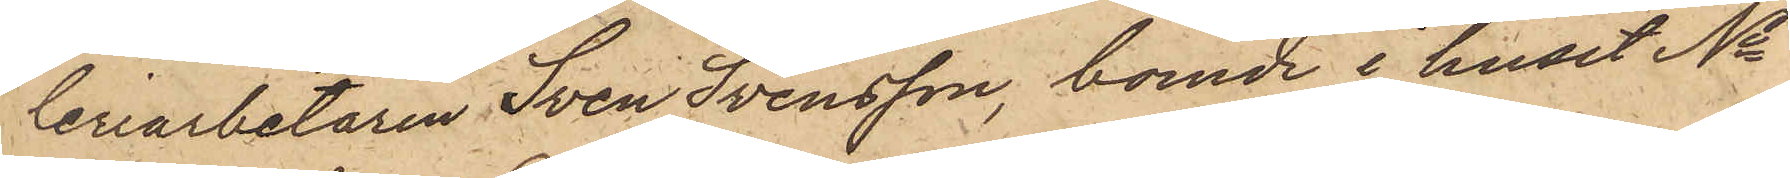leriarbetaren Sven Svensson, boende i huset No
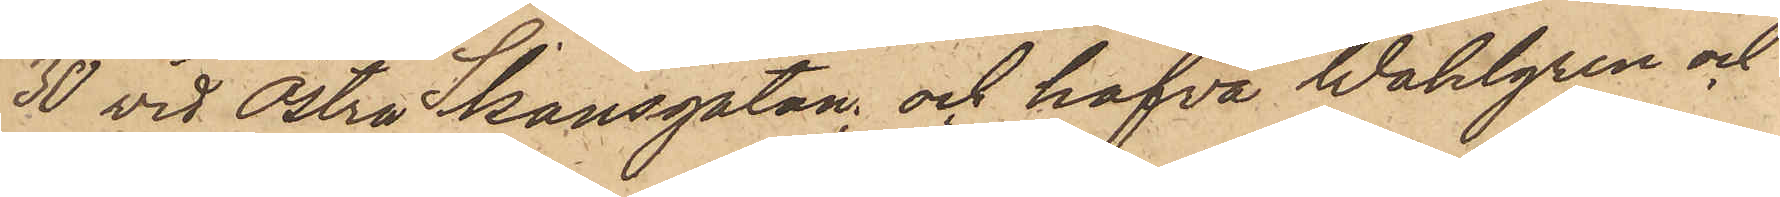30 vid Östra Skansgatan; och hafva Wahlgren och
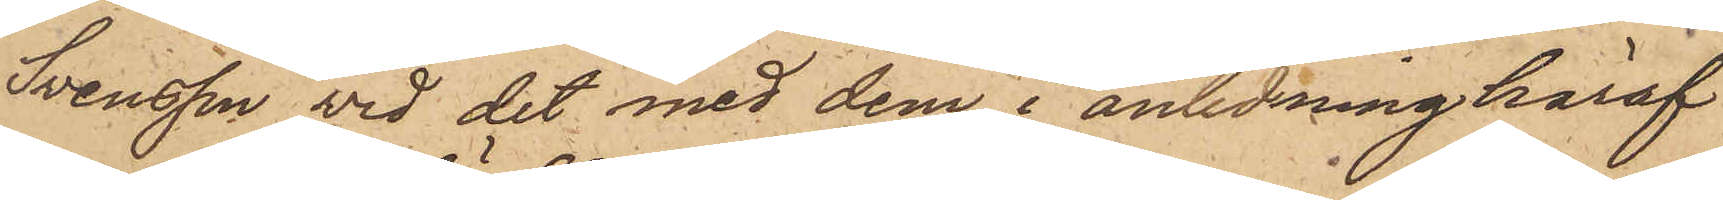Svensson vid det med dem i anledning häraf
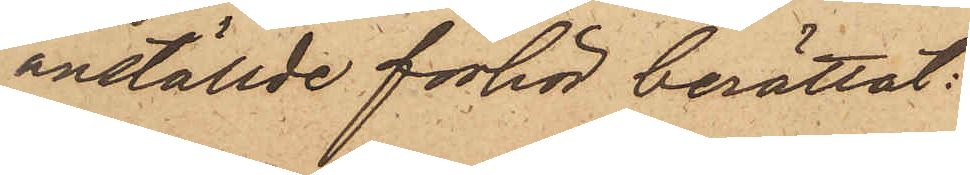anställde förhör berättat:
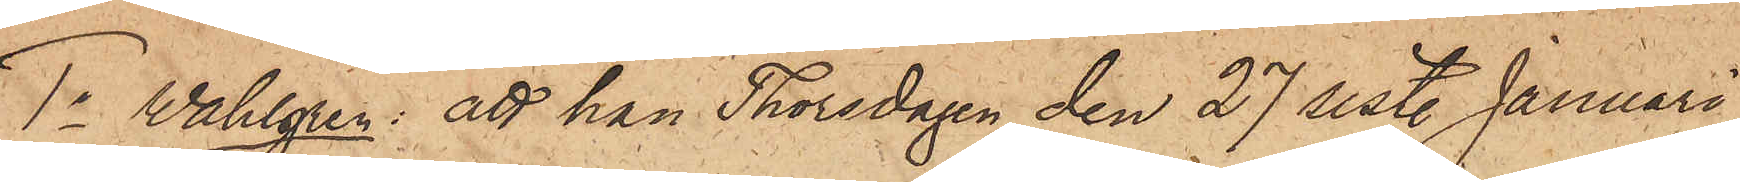1o Wahlgren: att han Thorsdagen den 27 sist. Januari
